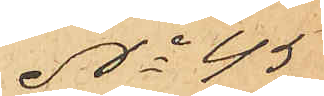No 45
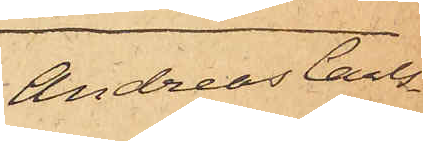Andreas Carls¬
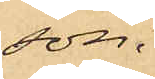son.
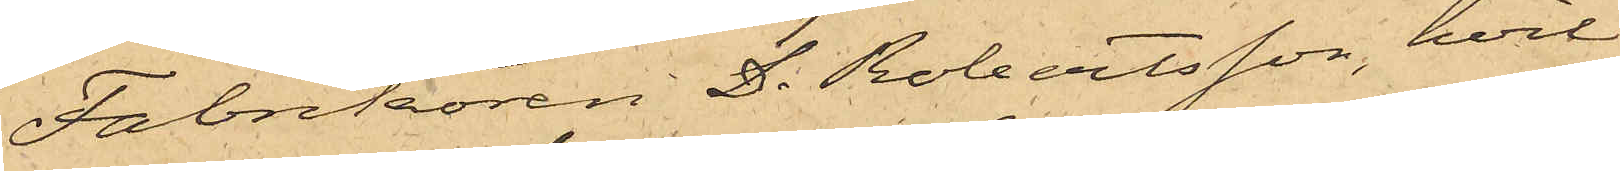Fabrikören D. Robertsson, hvil¬
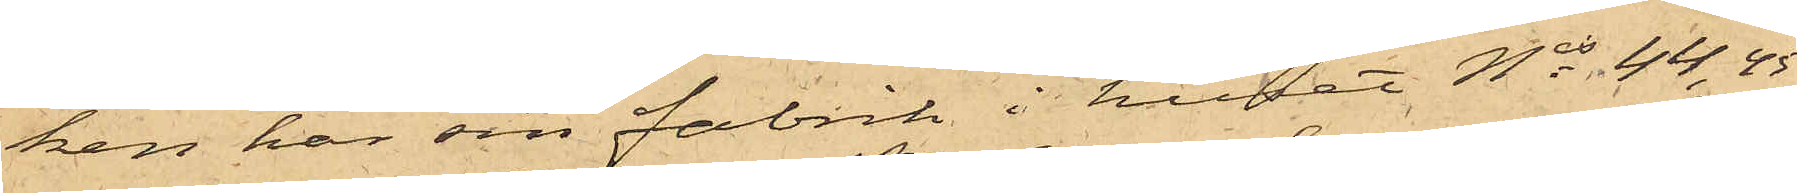ken har sin fabrik i huset Nis 44, 45
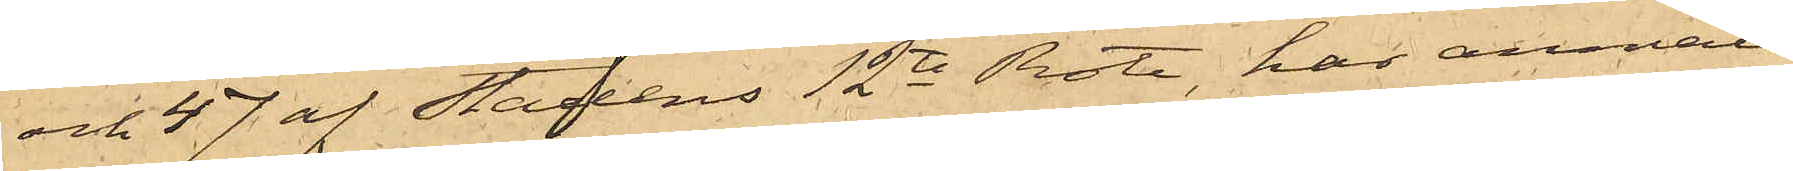och 47 af Stadens 12te Rote, har anmält
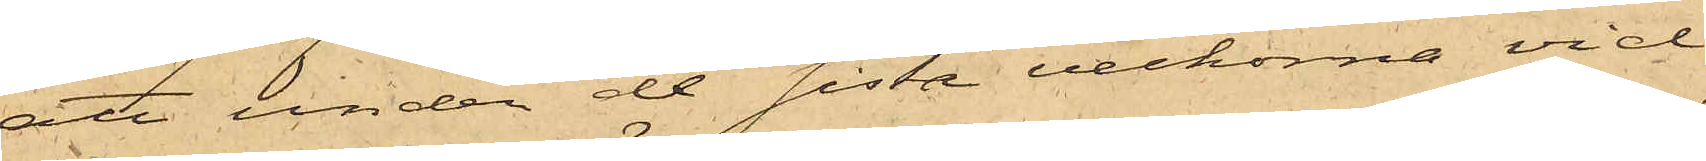att under de sista veckorna vid
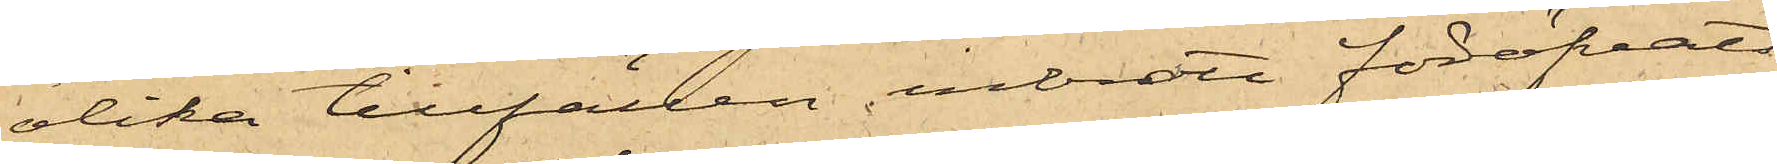olika tillfällen inbrott föröfvat
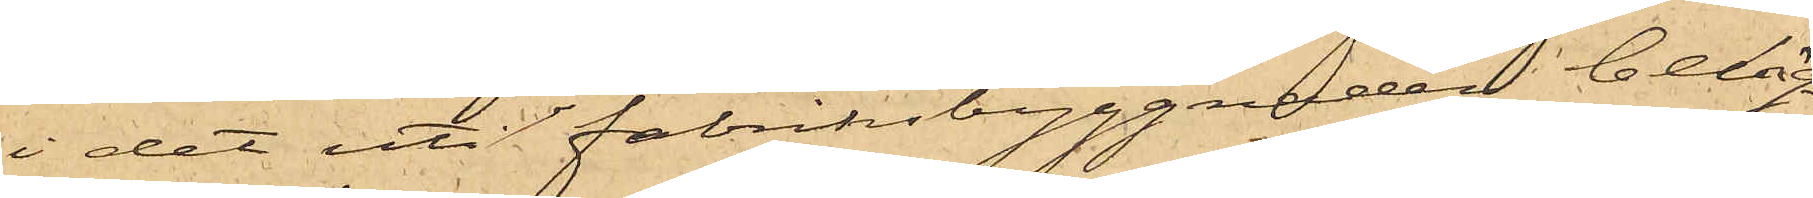i det uti fabriksbyggnaden beläg¬
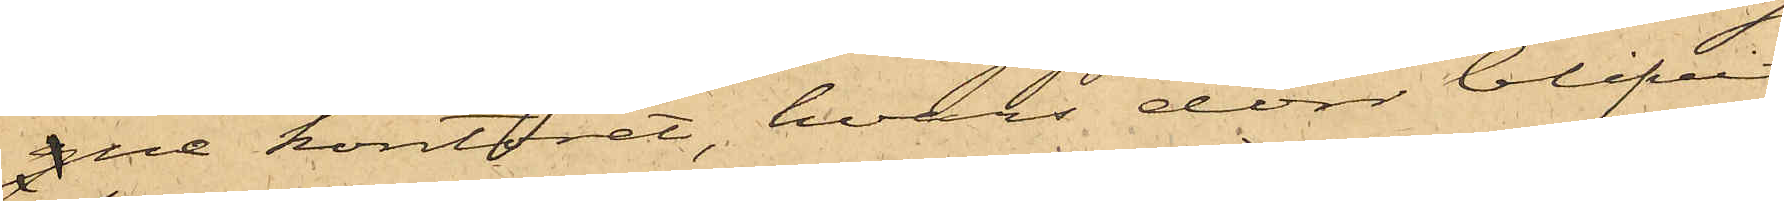gne kontoret, hvars dörr blifvit
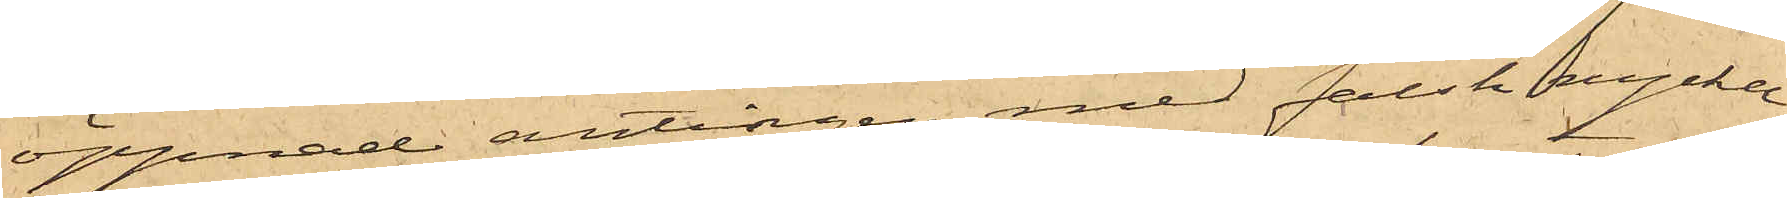öppnad antingen med falsk nyckel
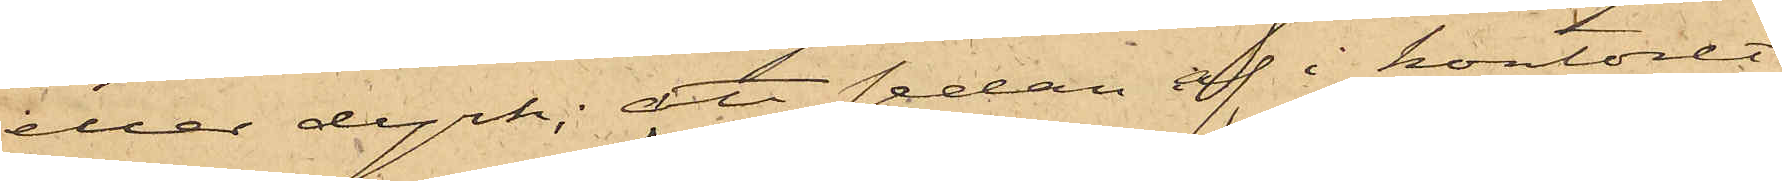eller dyrk; att sedan af i kontoret
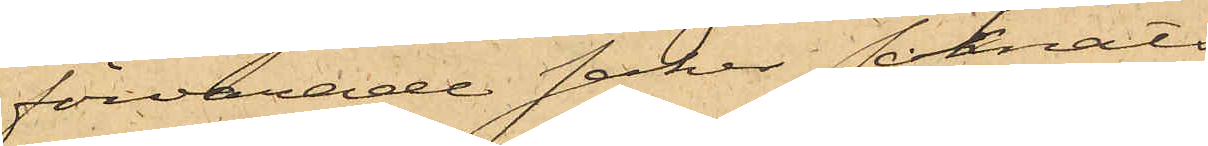förvarade saker saknats
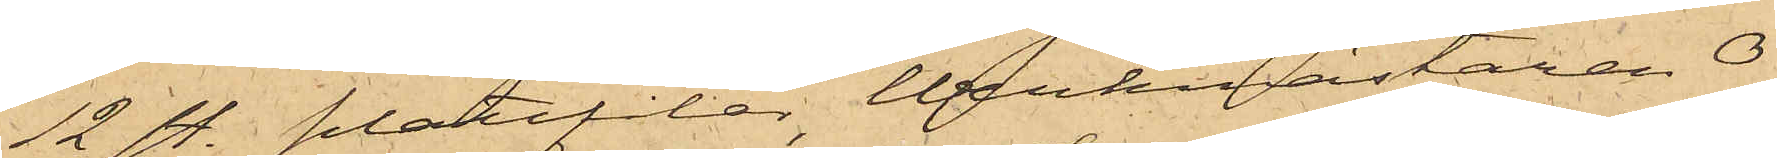12 st. plattfilar, Werkmästaren O.
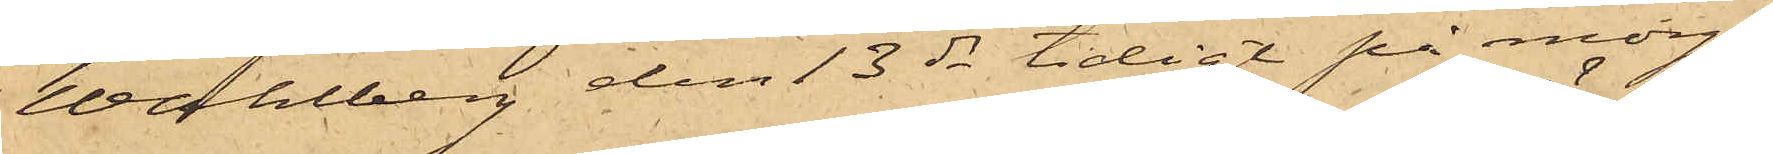Wahlberg den 13 ds tidigt på morgo¬
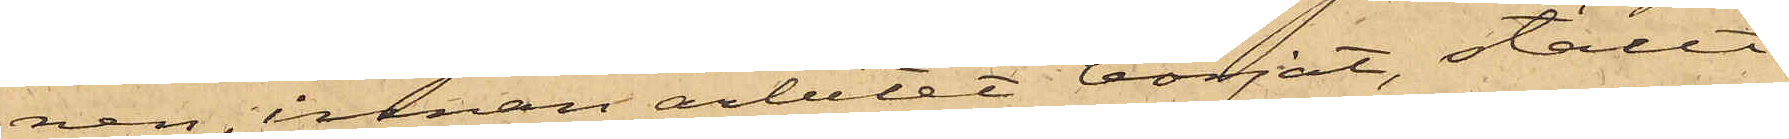nen, innan arbetet börjat, ställt
